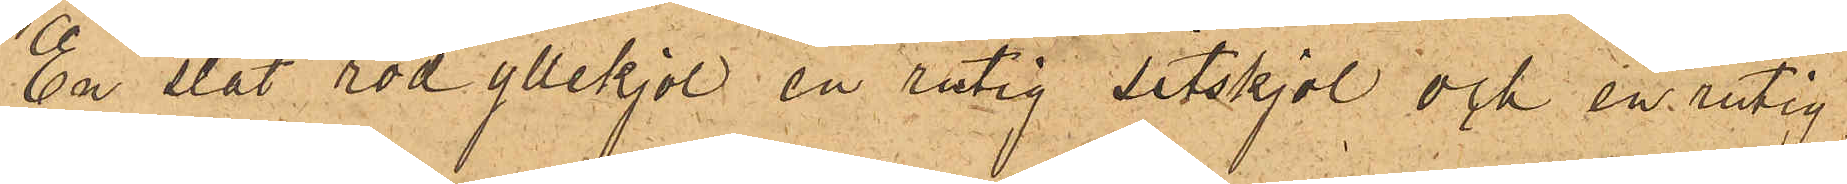En slät röd yllekjol, en rutig sitskjol och en rutig
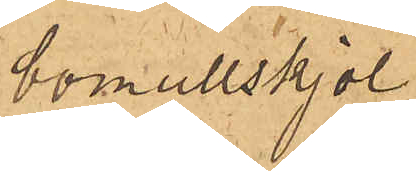bomullskjol
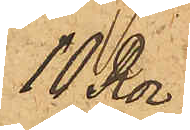10 Rdr
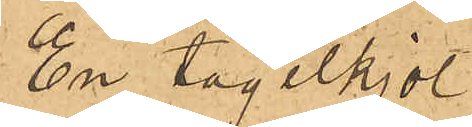En tagelkjol
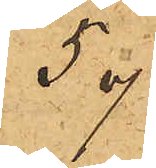5 "
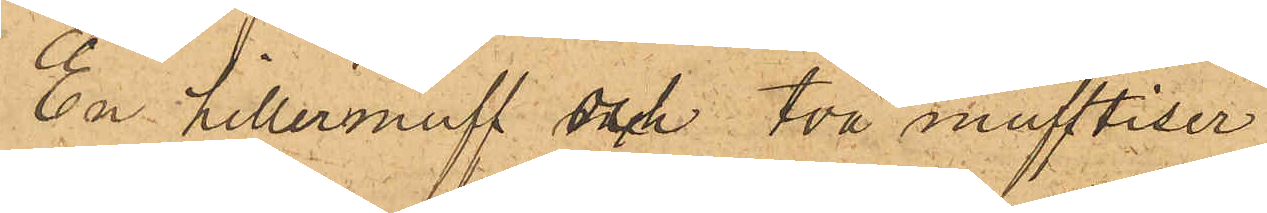En Hillermuff och två mufftiser
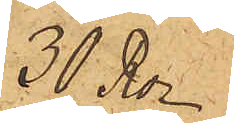30 Rdr
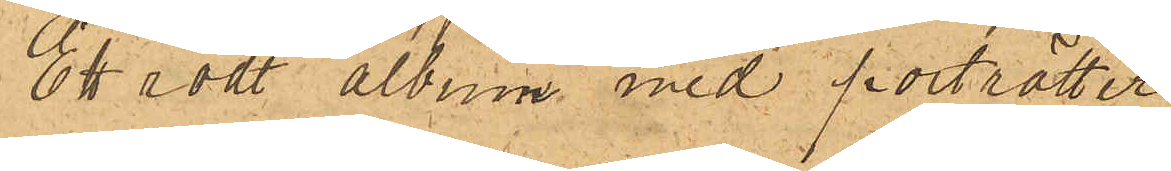Ett rödt album med porträtter
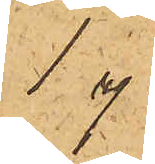1 "
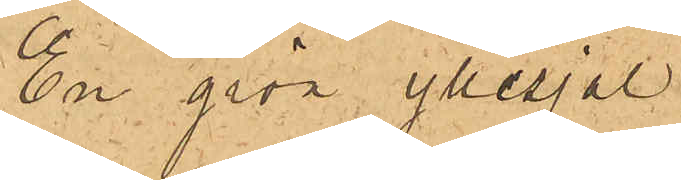En grön yllesjal
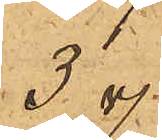3 "
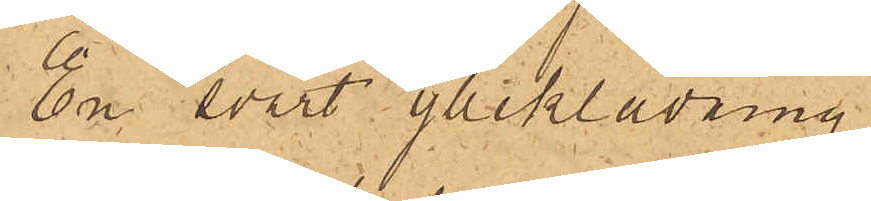En svart ylleklädning
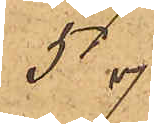5 "
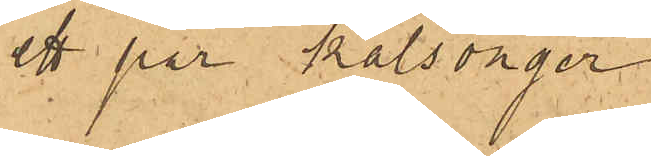ett par kalsonger
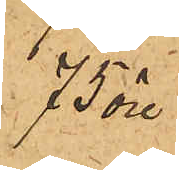75 öre
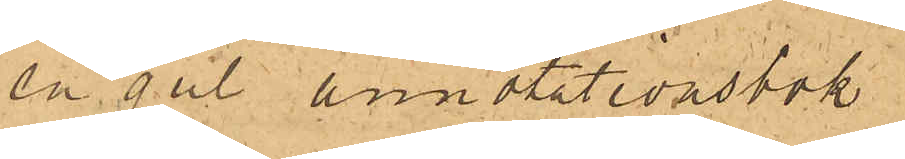en gul annotationsbok
